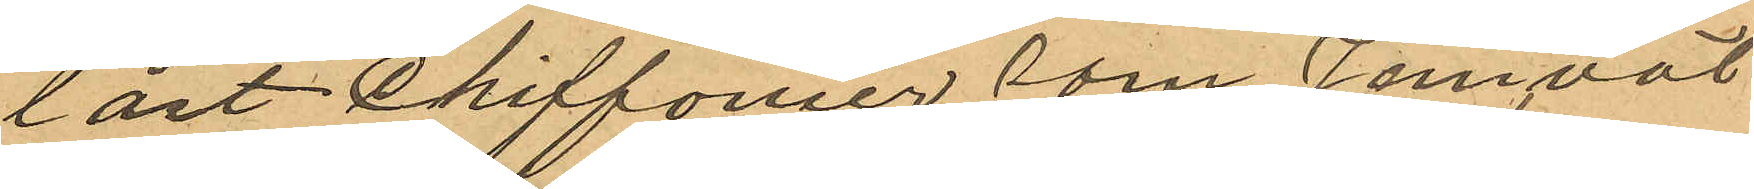låst Chiffonier som jemväl
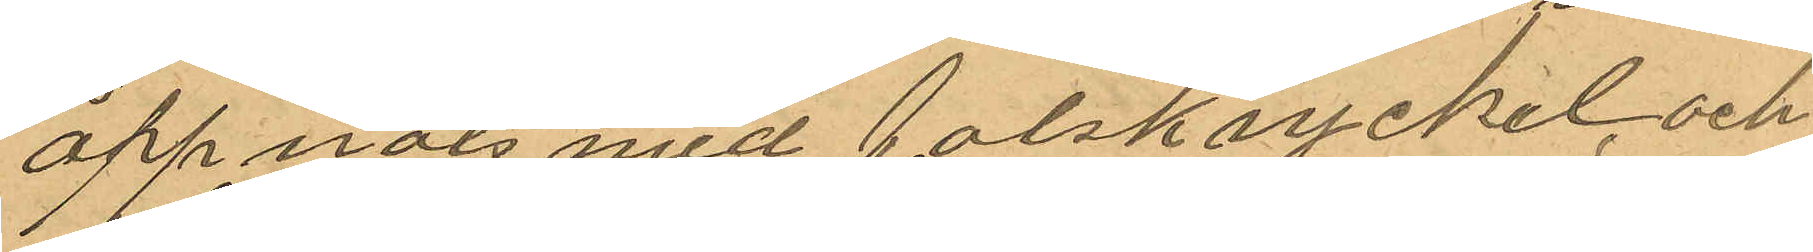öppnats med falsk nyckel, och
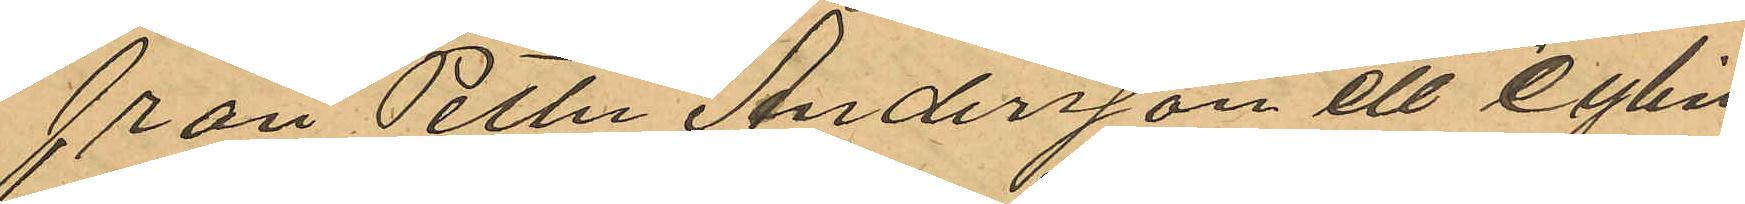från Petter Andersson ett cylin¬
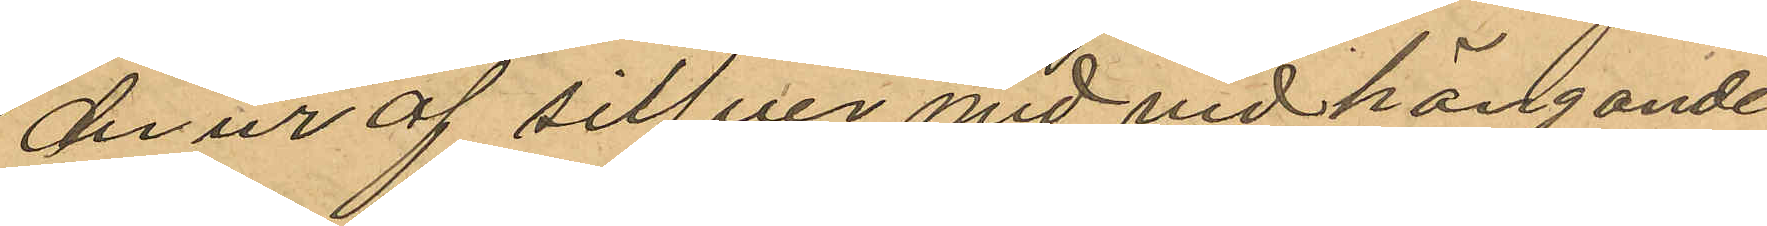derur af sifver med vidhängande
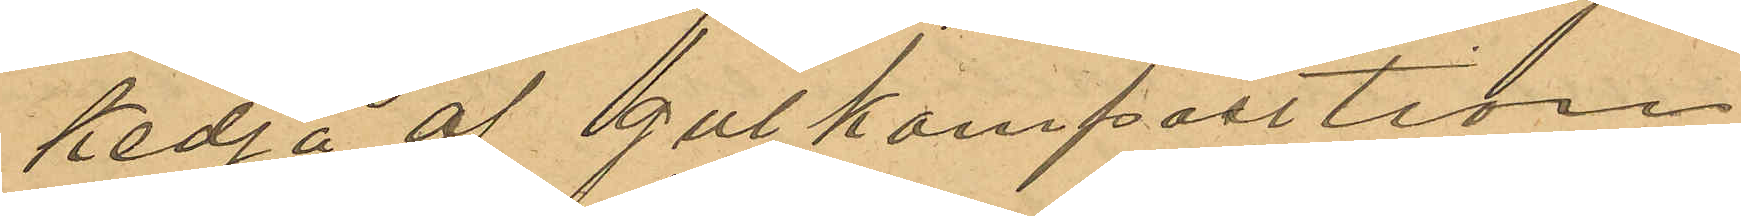kedja af gul komposition
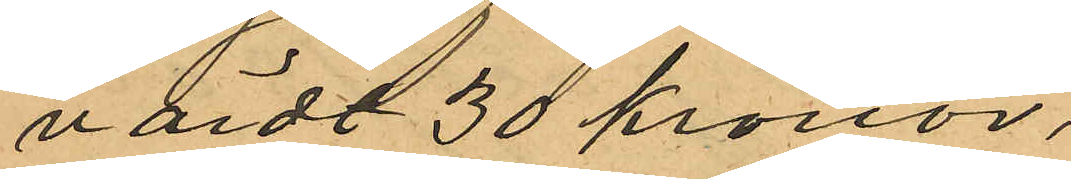värdt 30 kronor,
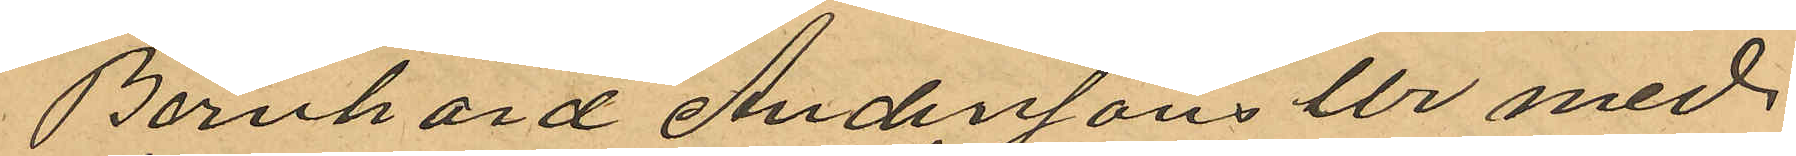Bernhard Anderssons Ur med
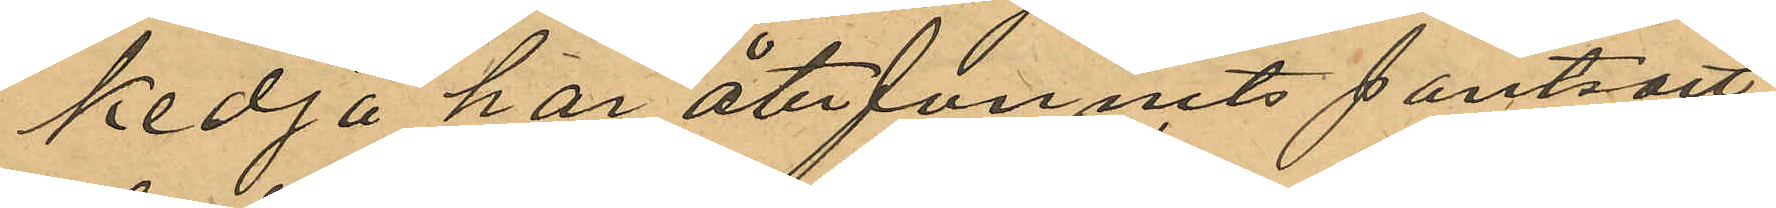kedja har återfunnits pantsatt
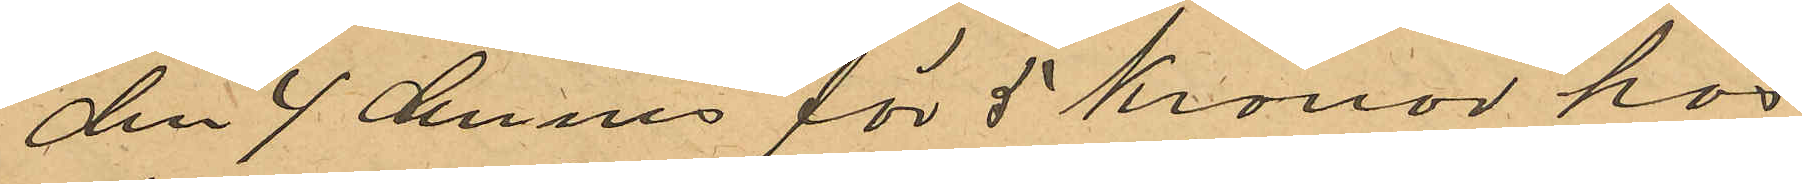den 4 dennes för 5 Kronor hos
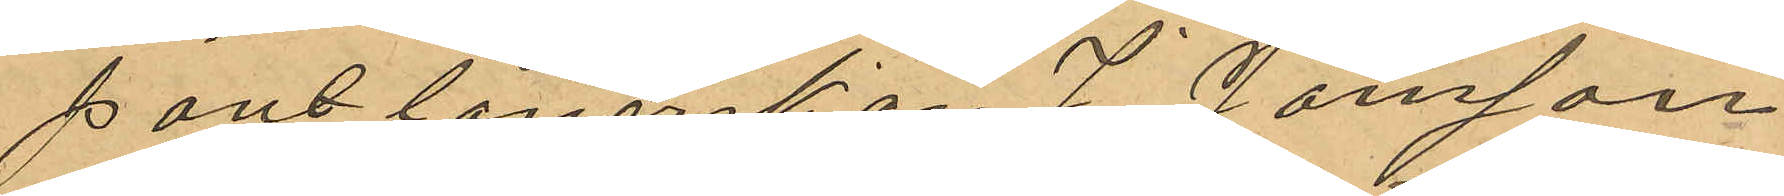pantlånerskan J. Jonsson
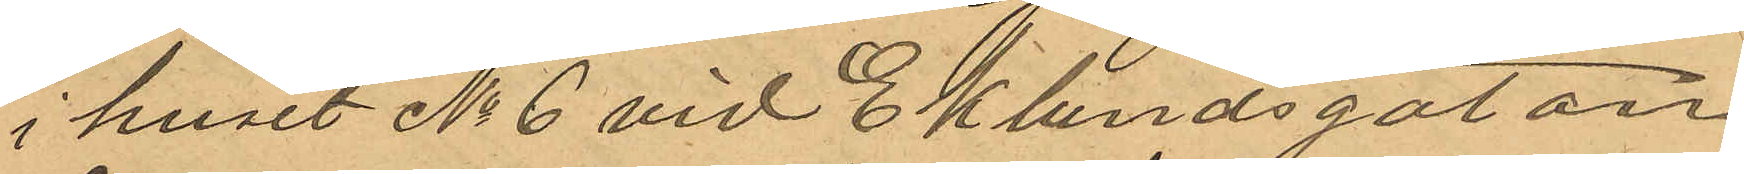i huset No 6 vid Eklundsgatan
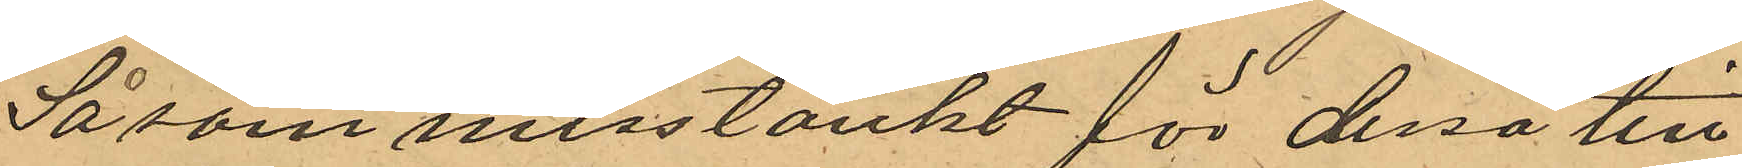Såsom misstänkt för dessa till¬
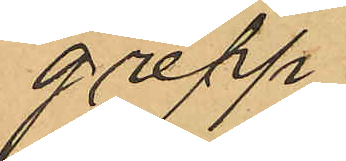grepp
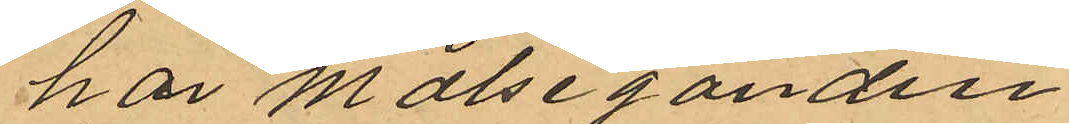har Målseganden
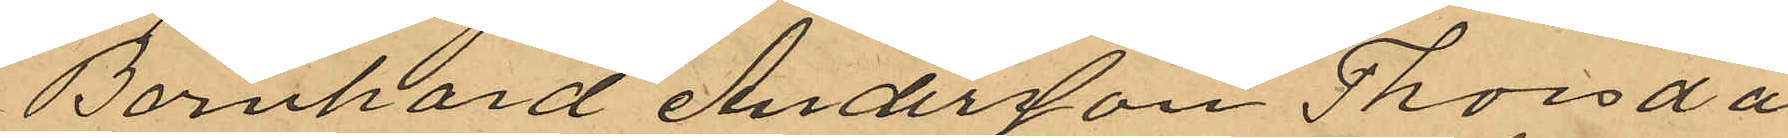Bernhard Andersson Thorsda¬
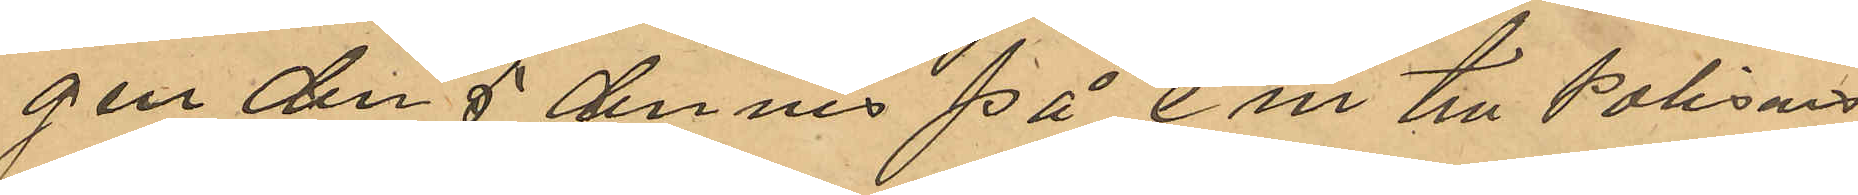gen den 5 dennes på em till Polisens
